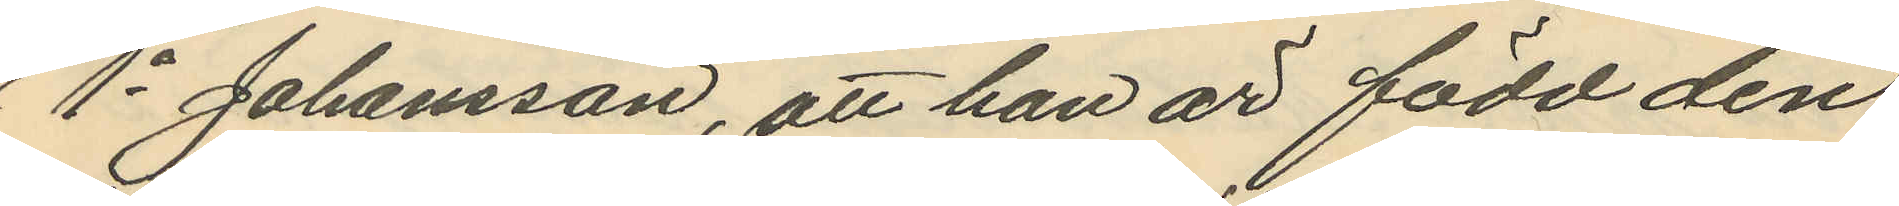1o Johansson, att han är född den
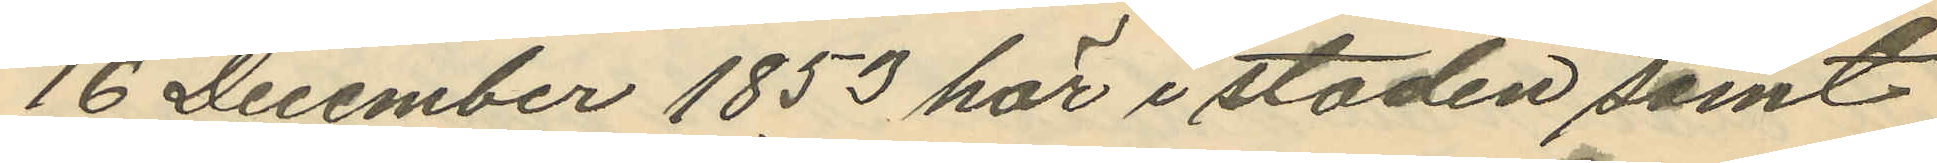16 December 1853 här i staden samt
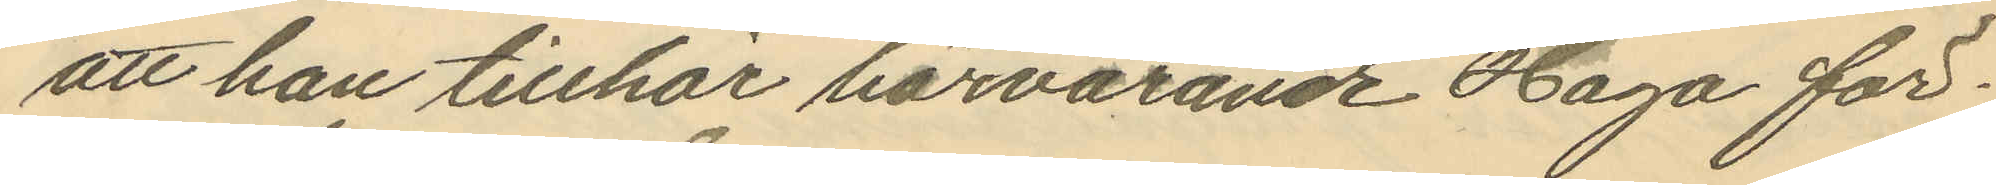att han tillhör härvarande Haga för¬
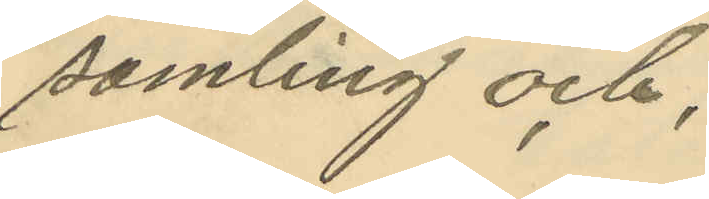samling och,
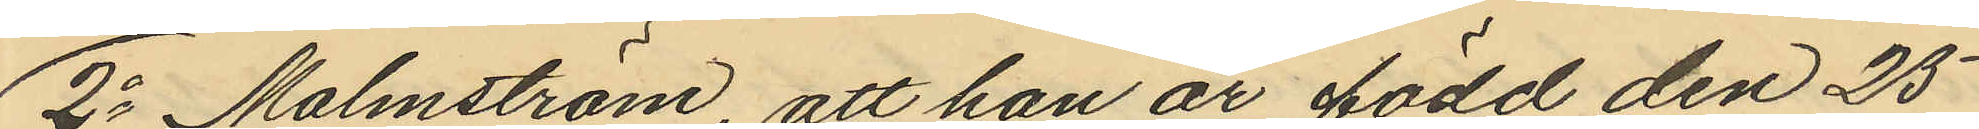2o Malmström, att han är född den 25
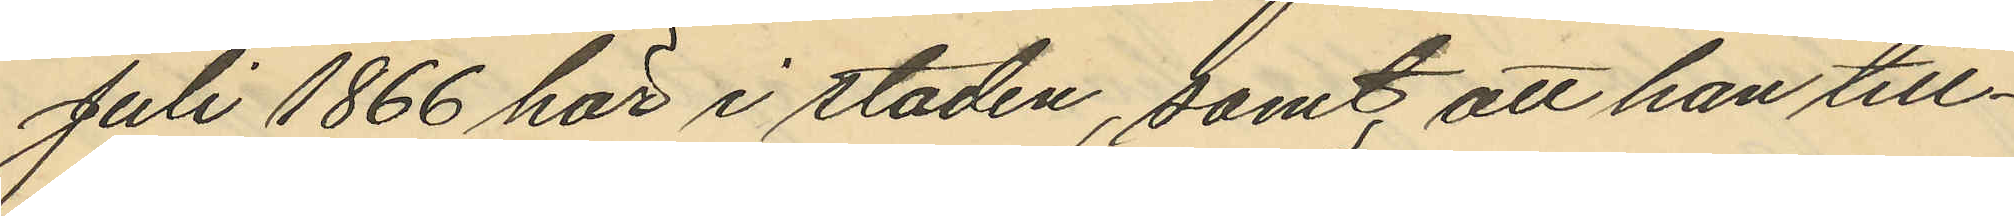Juli 1866 här i staden, samt att han till¬
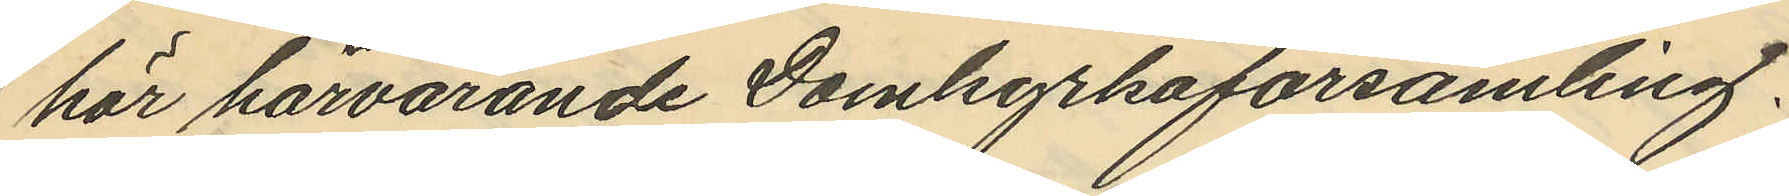hör härvarande Domkyrkoförsamling.
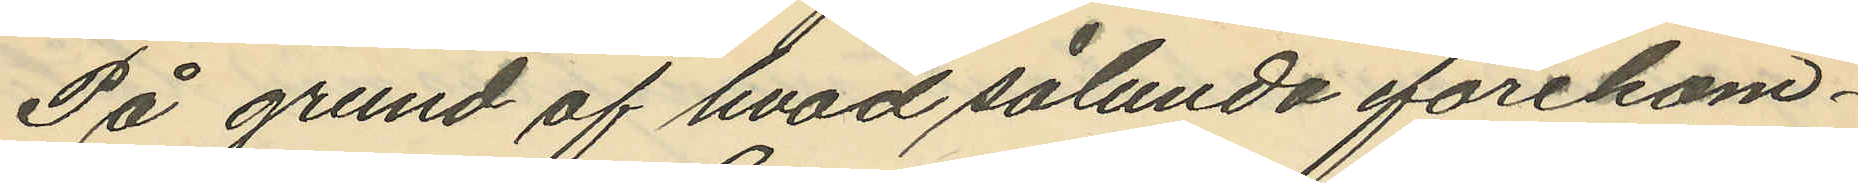På grund af hvad sålunda förekom¬
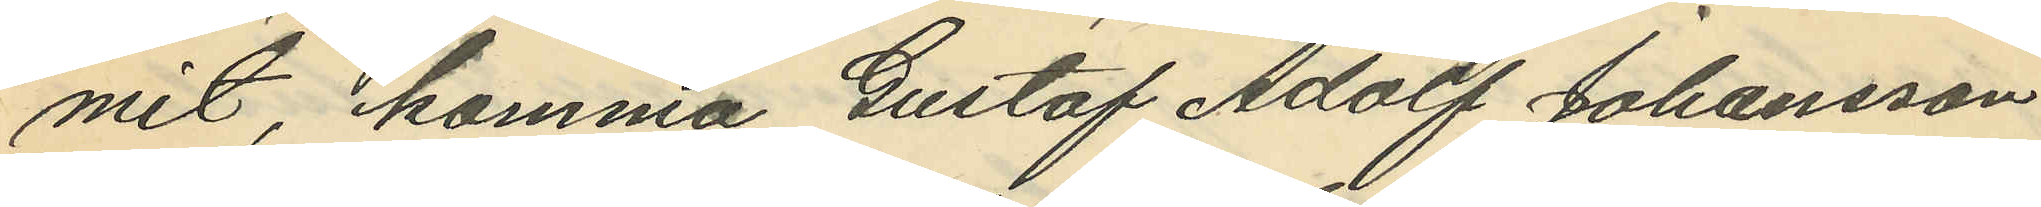mit, komma Gustaf Adolf Johansson
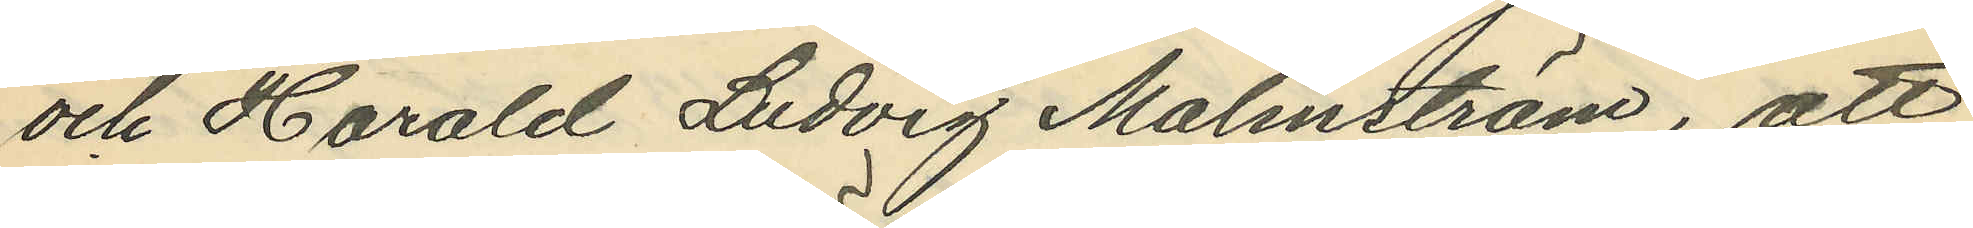och Harald Ludvig Malmström, att
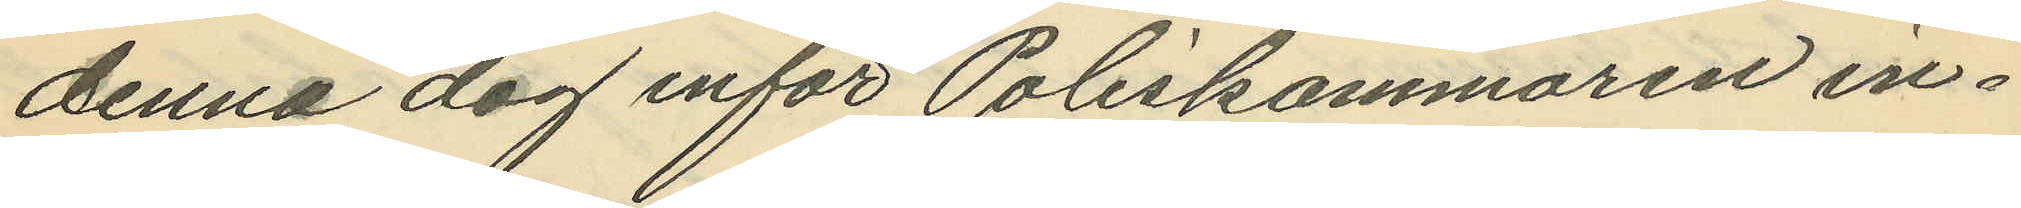denna dag inför Poliskammaren in¬
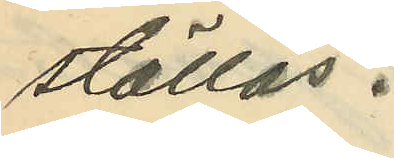ställas.
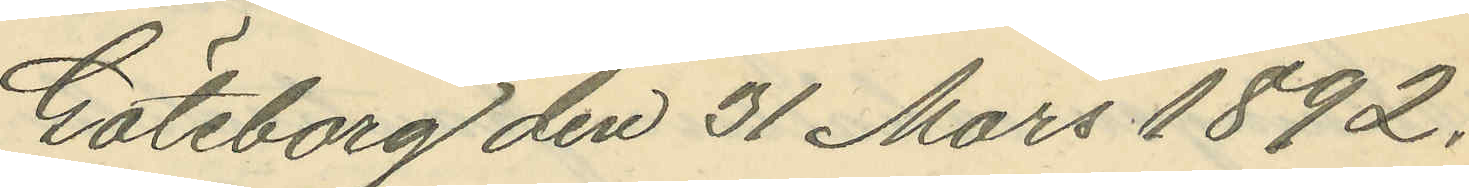Göteborg den 31 Mars 1892.
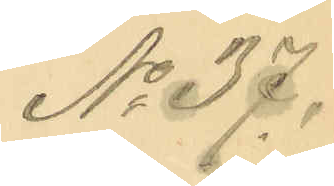No 37.
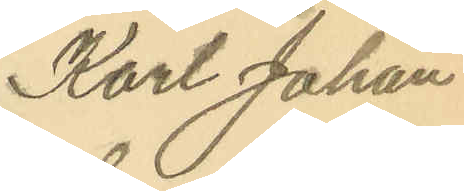Karl Johan
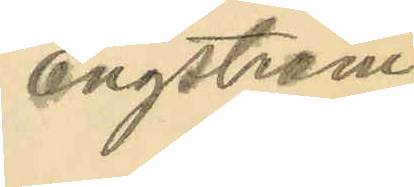Engström.
